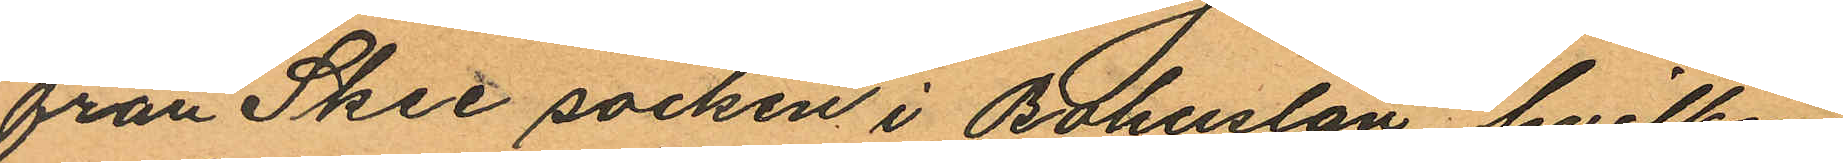från Skee socken i Bohuslän, hvilken
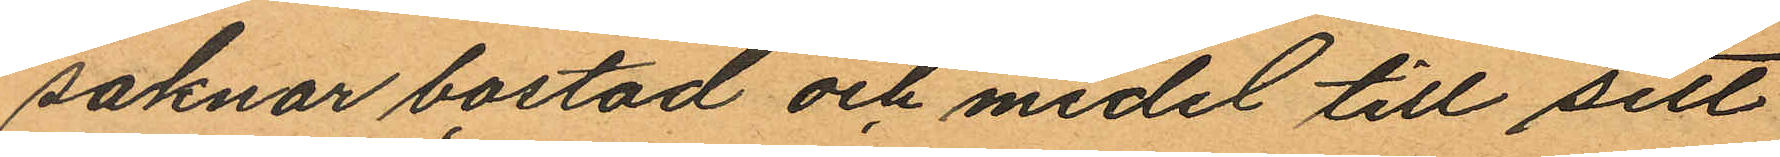saknar bostad och medel till sitt
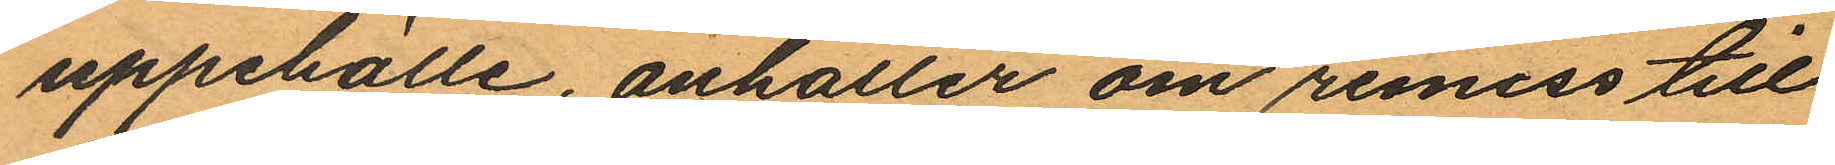uppehälle, anhåller om remiss till
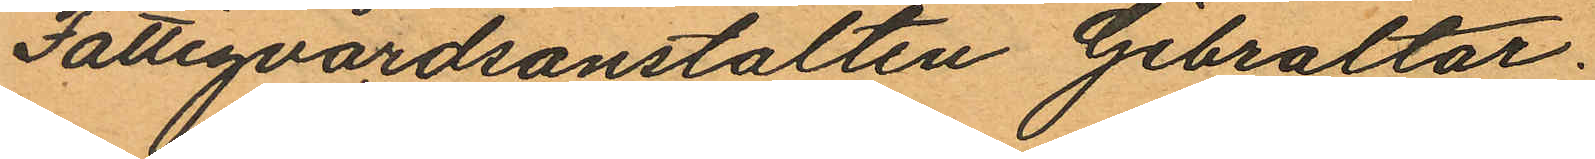Fattigvårdsanstalten Gibraltar.
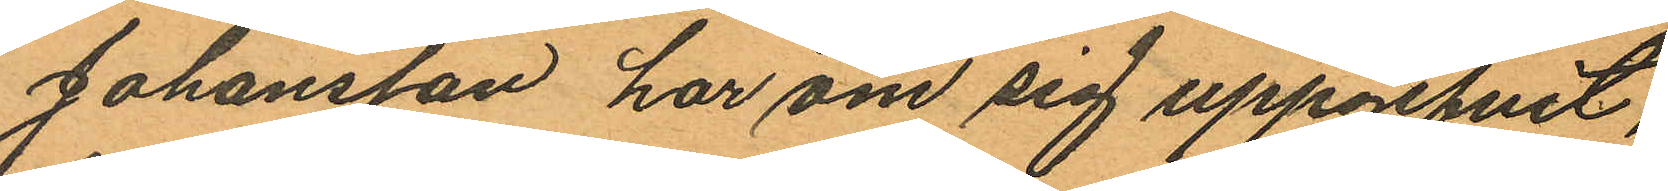Johansson har om sig uppgifvit,
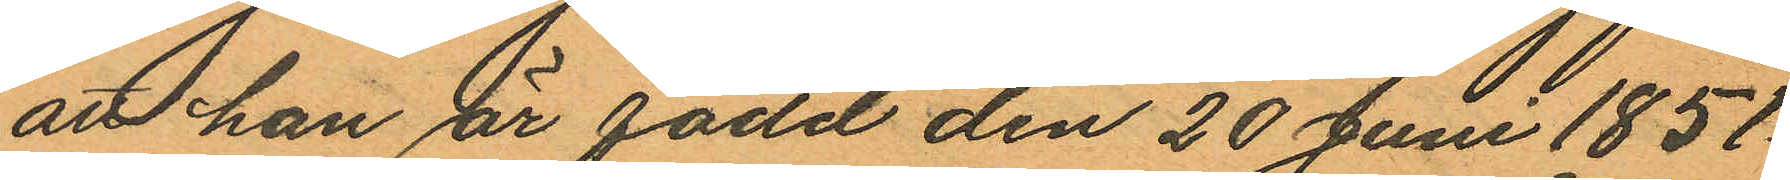att han är född den 20 Juni 1851
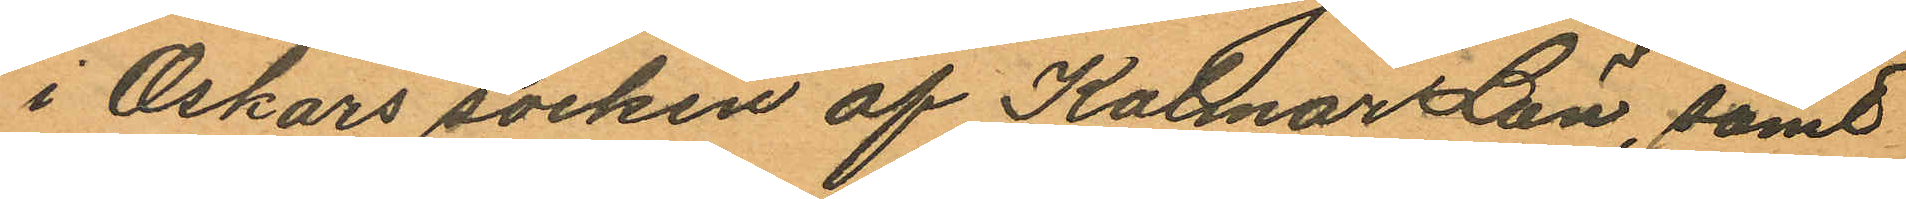i Oskars socken af Kalmar Län, samt
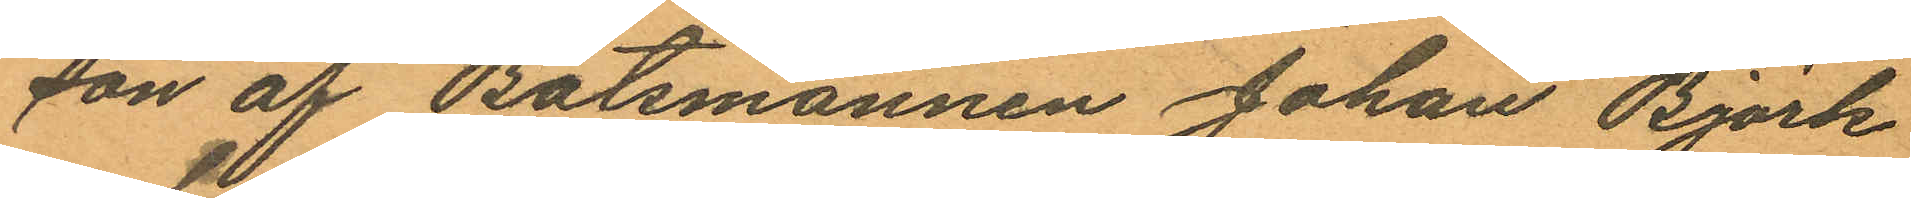son af Båtsmannen Johan Björk
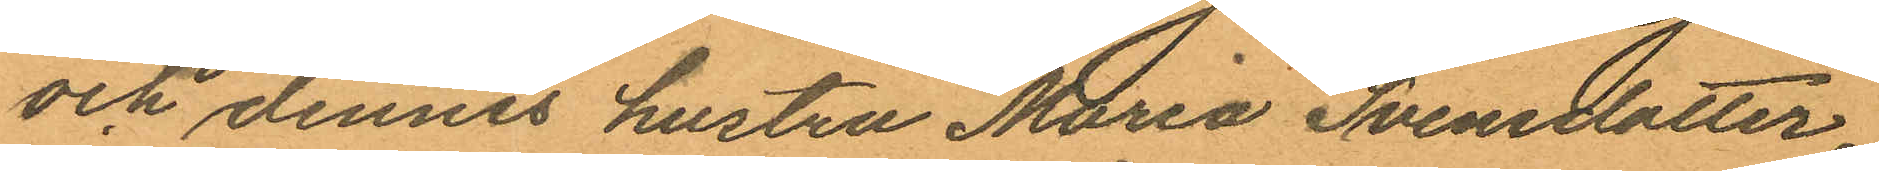och dennes hustru Maria Svensdotter,
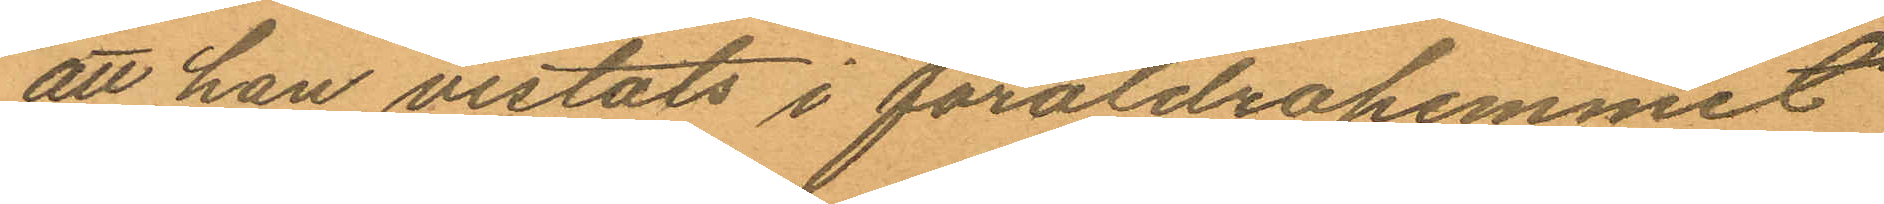att han vistats i föräldrahemmet
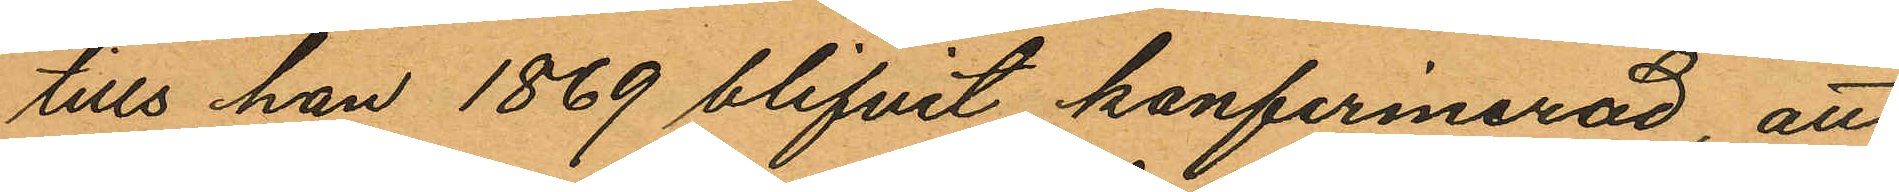tills han 1869 blifvit konfirmerad, att
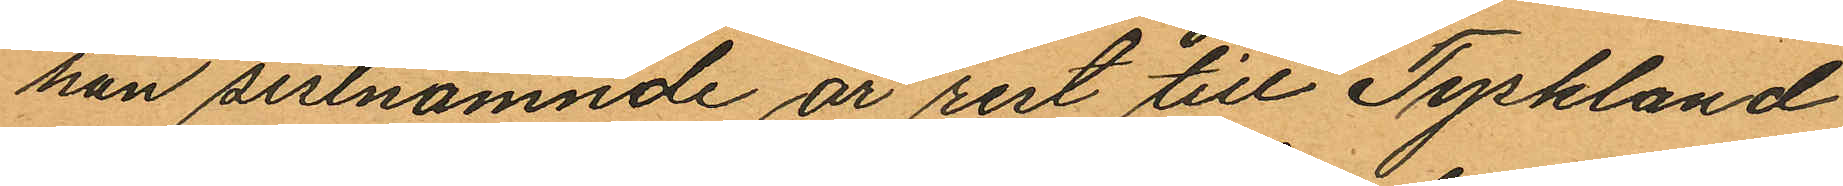han sistnämnde år rest till Tyskland
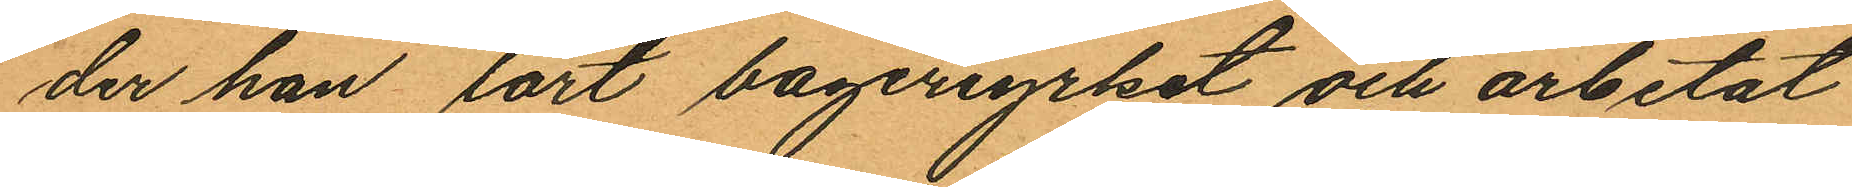der han lärt bageriyrket och arbetat
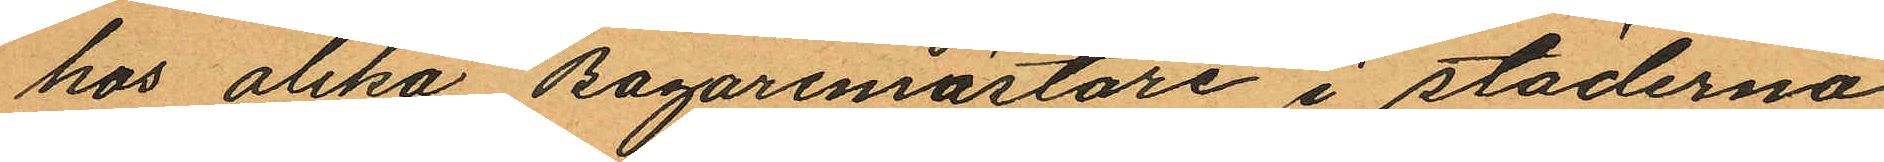hos olika Bagaremästare i städerna
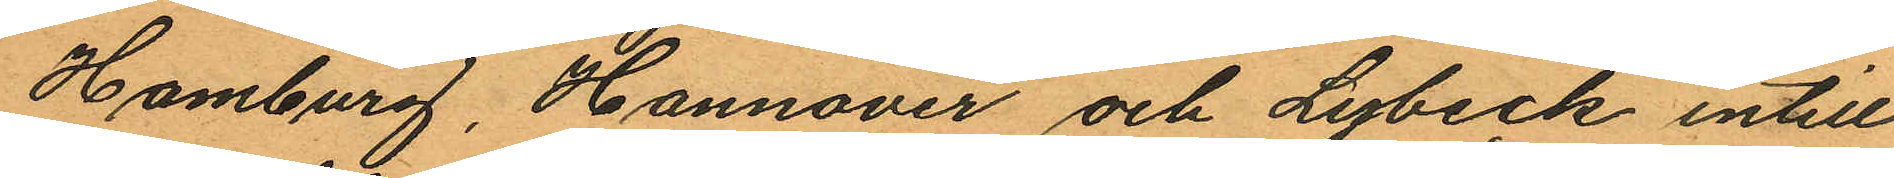Hamburg, Hannover och Lybeck intill
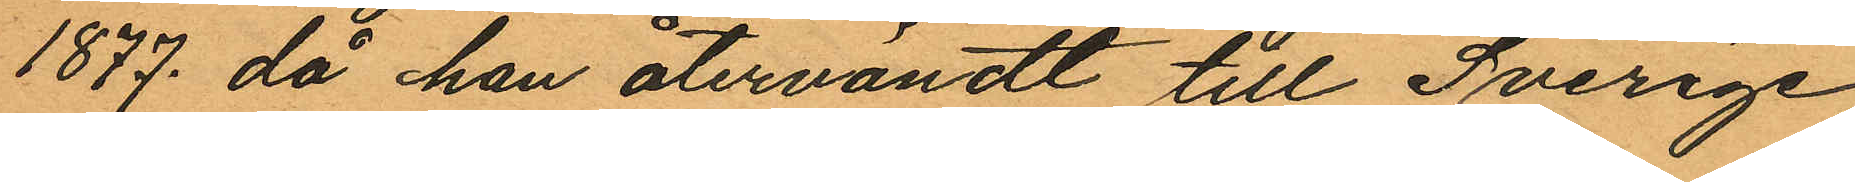1877, då han återvändt till Sverige
